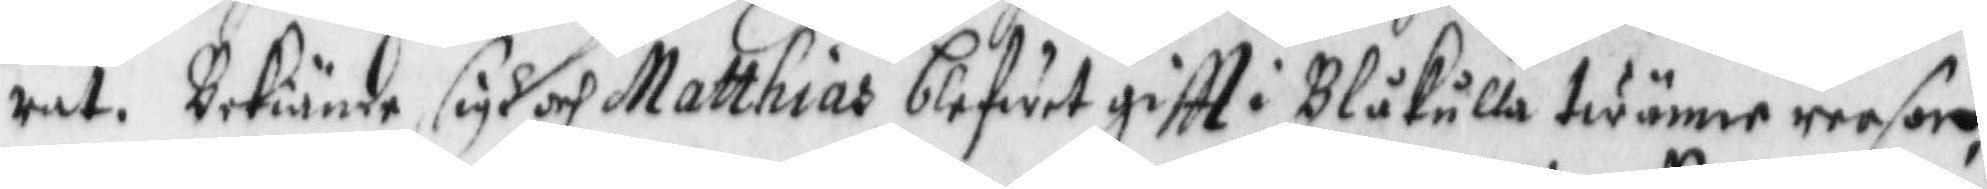rat. Bekiände sigh och Matthias blifwit giftt i Blåkulla twänne reesor,
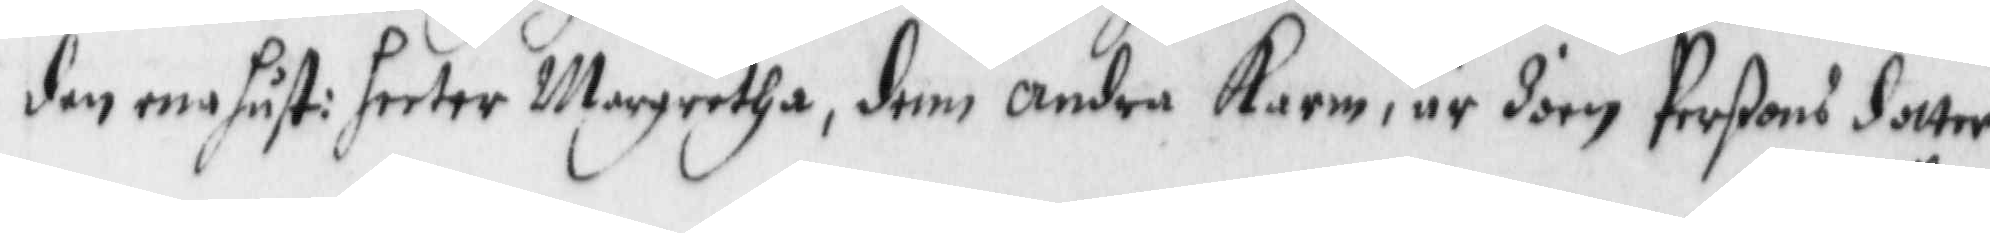den ena hust: heeter Margretha, den andra Karin, är Joen Perßons dotter
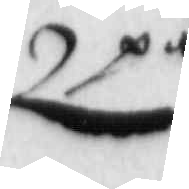på
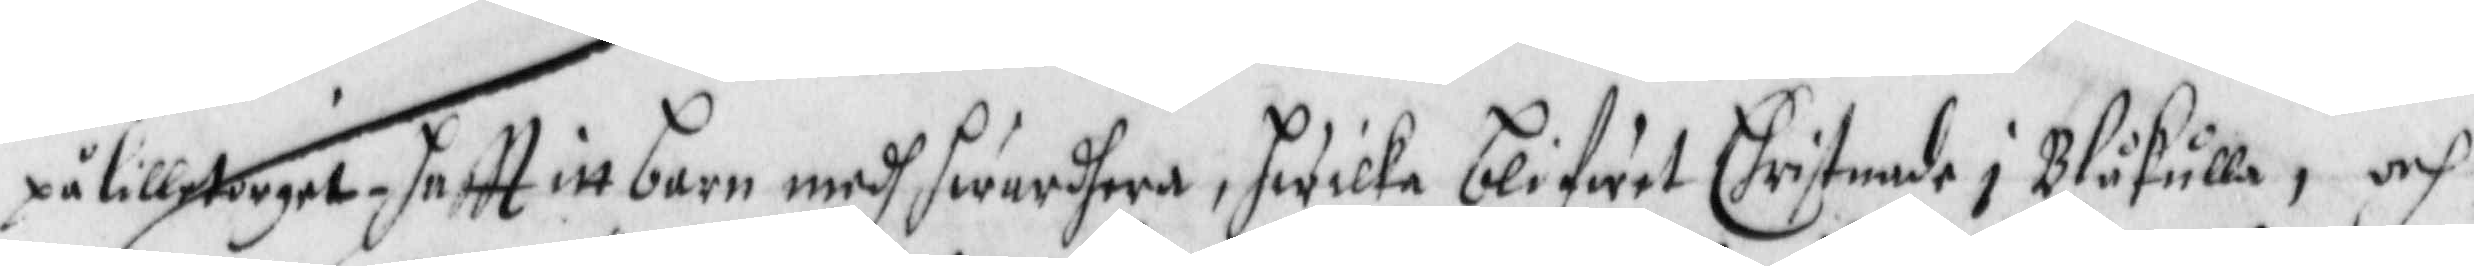på lilla torget, haftt itt barn medh hwardhera, hwilka blifwit Christnade i Blåkulla, och
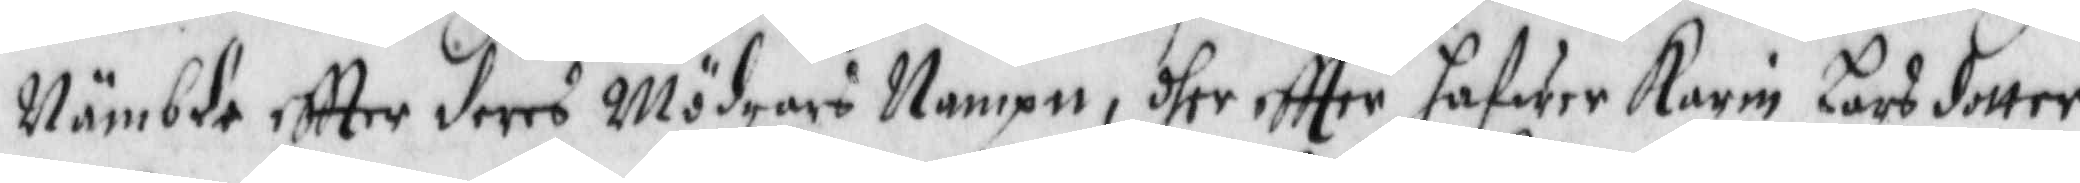Nämbde eftter deras Mödrars Nampn, dher eftter hafwer Karin Lars dotter
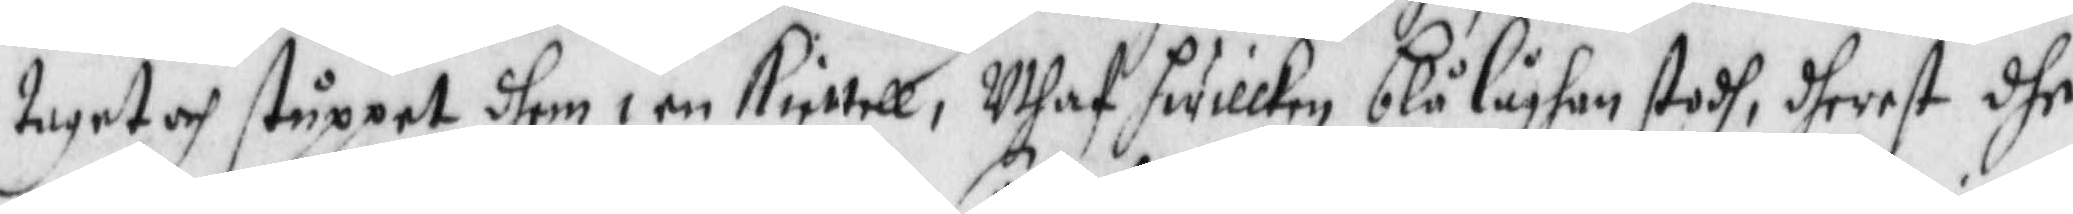taget och ståppet dhem i en kiettell, Uthaf hwilken blå låghan stodh, dheraf dhe
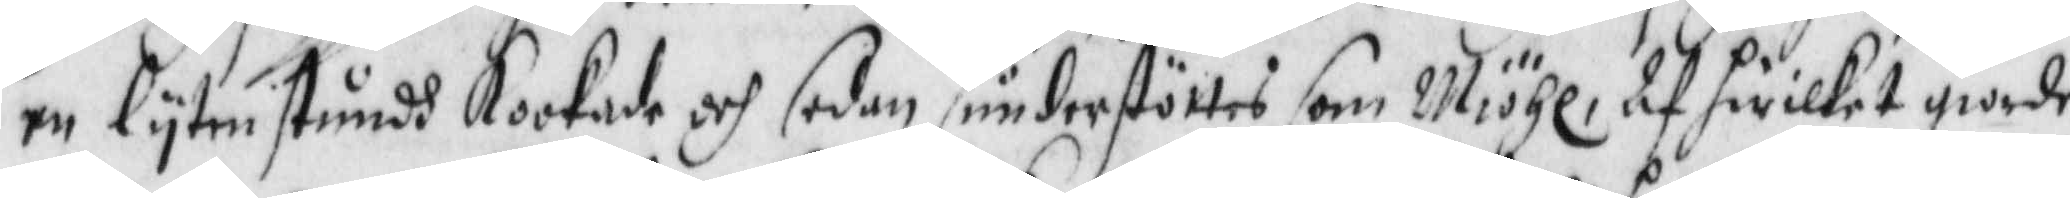en lyten stundh Kookade och sedan sönderstöttes som Miöhl, Af hwilket giordes
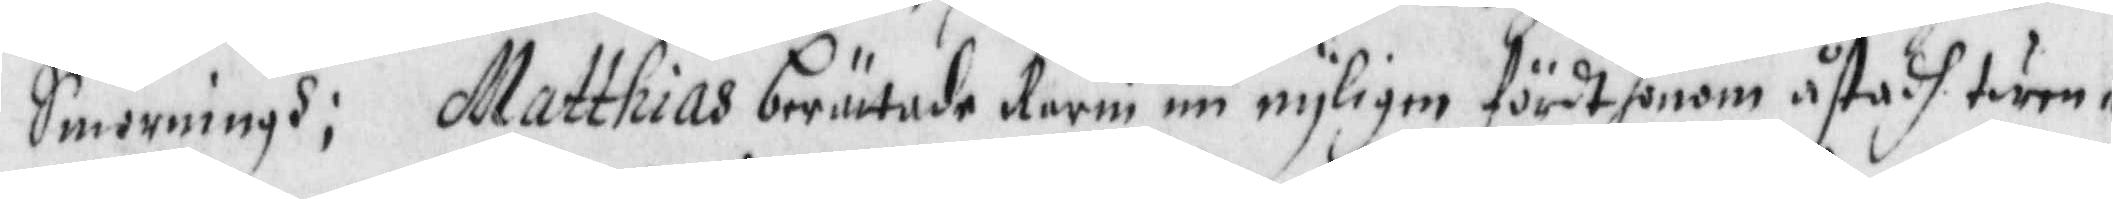Smorningh; Matthias berättade Karin nu nyligen fördt honom åstadh twen¬
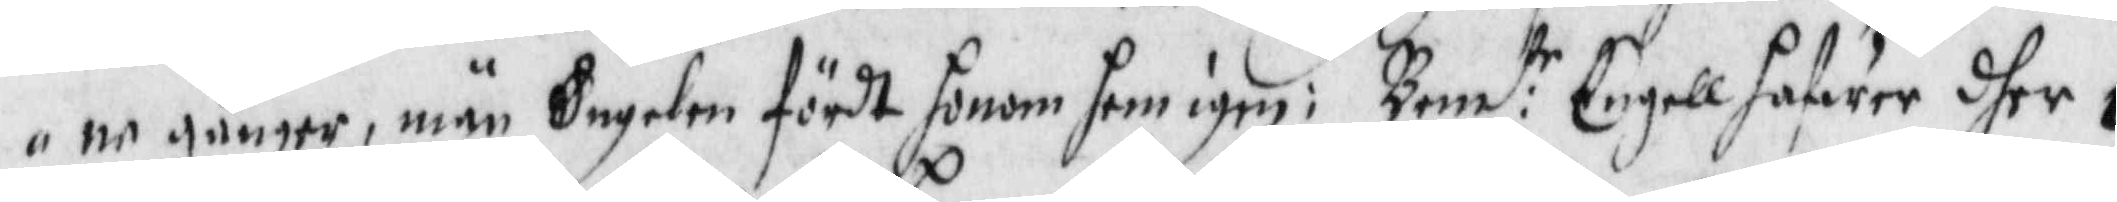ne gånger, män Engelen fördt honom hem igen: Bem:te Engell hafwer dher i
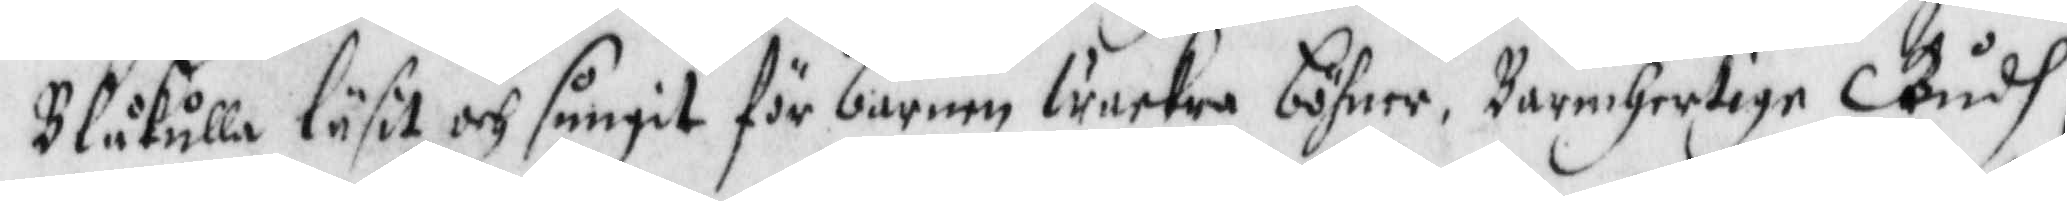Blåkulla läsit och sungit för barnen wackra böhner, Barmhertige Gudh,
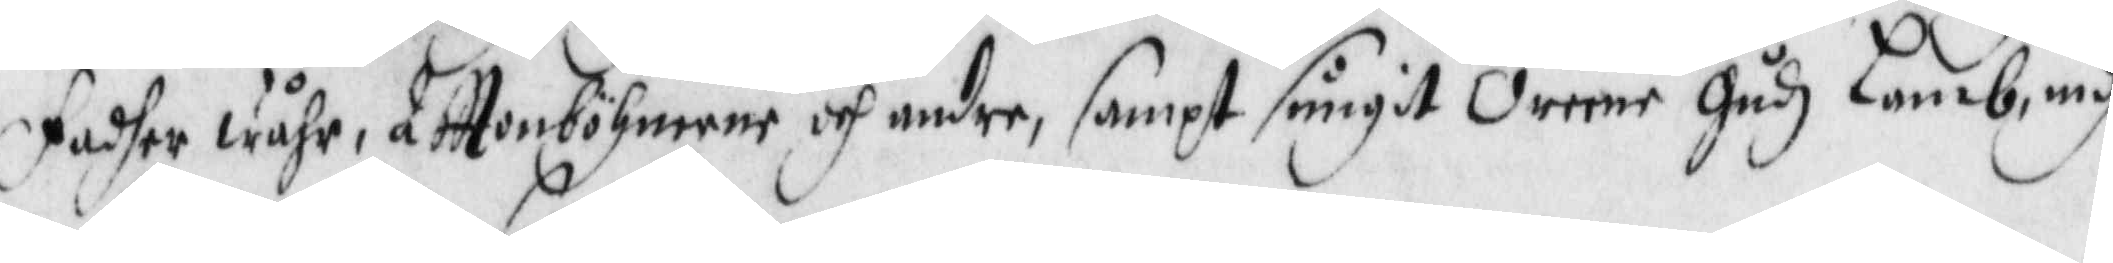Fadher wåhr, Afttonböhnerne och andre, sampt sungitOreene Gudz Lamb, medh
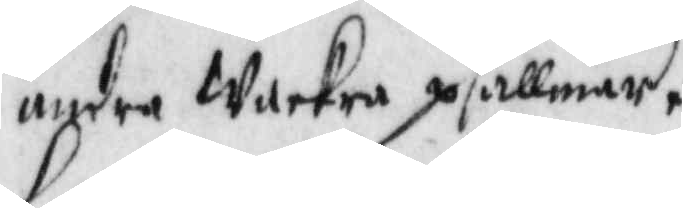andra wackra psallmer,
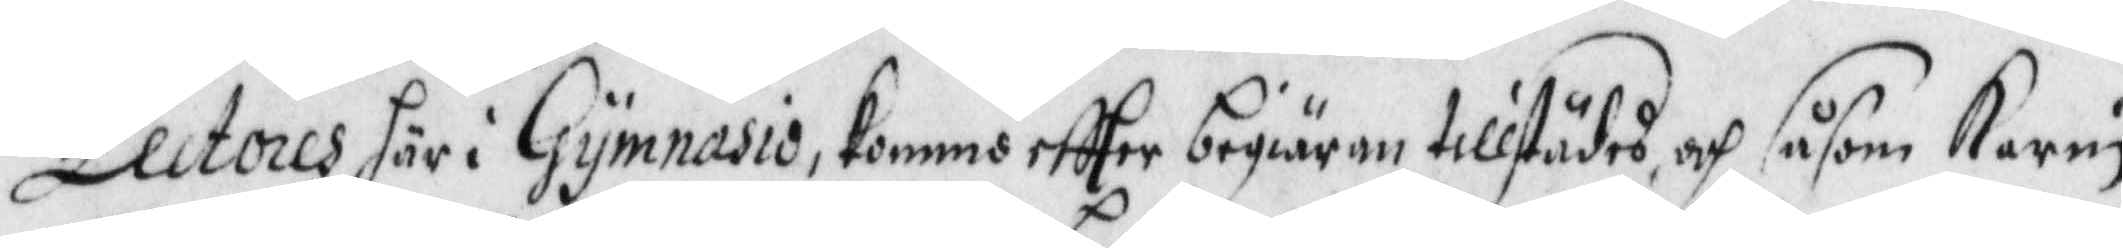Lectores här i Gymnasio kommo eftter begiäran tillstädes, och såsom Karin
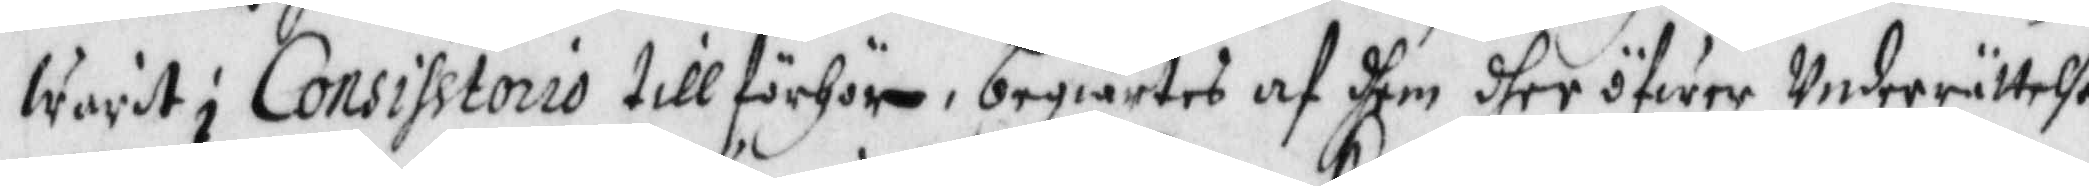warit i Consihstorio till förhör, begiärtes af dhem dher ögwer Underrättelse.
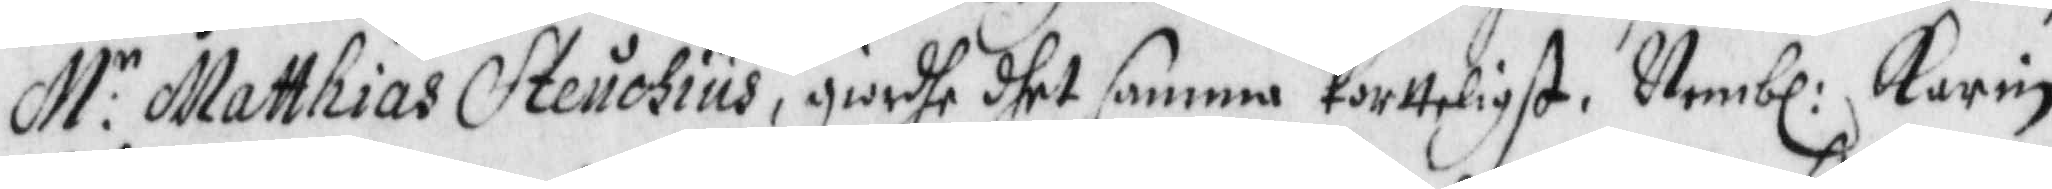M:r Matthias Steuchius, giorhe dhet samma Kortteligst. Nembl: Karin
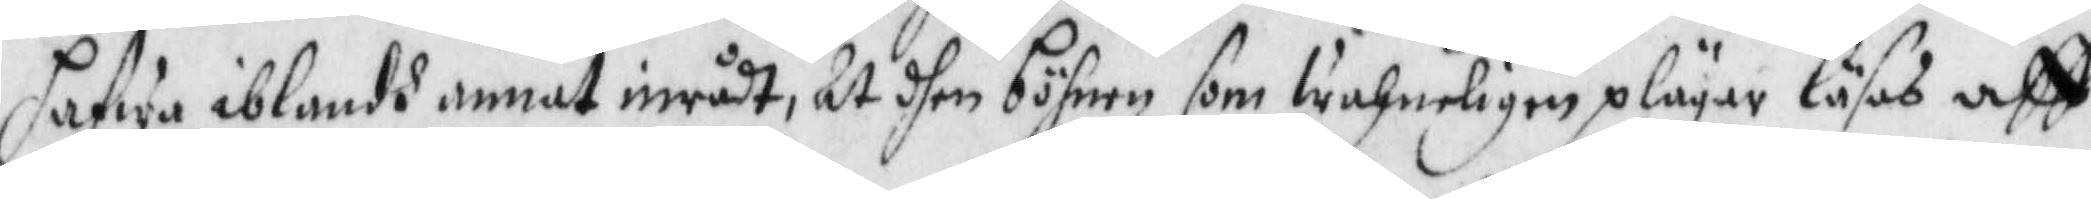hafwa iblandh annat inrådt, At dhen böhnen som wahneligen plägar läsas aff
